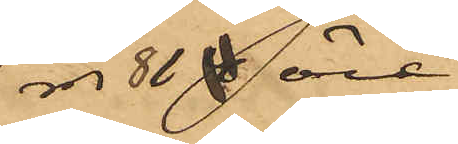81 öre.
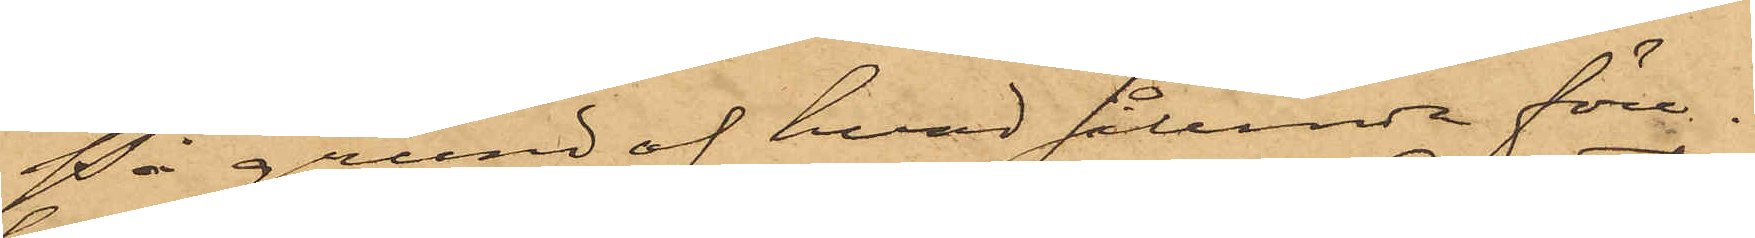På grund af hvad sålunda före¬
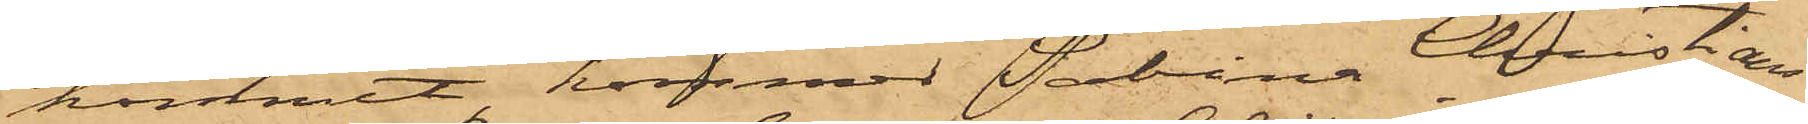kommit, kommer Sabina Christians¬
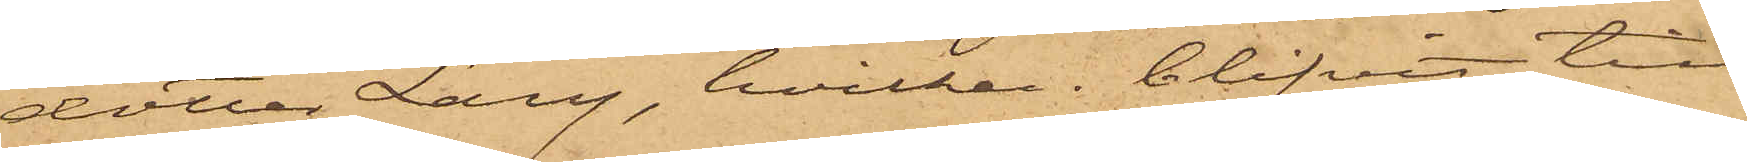dotter Lang, hvilken blifvit till
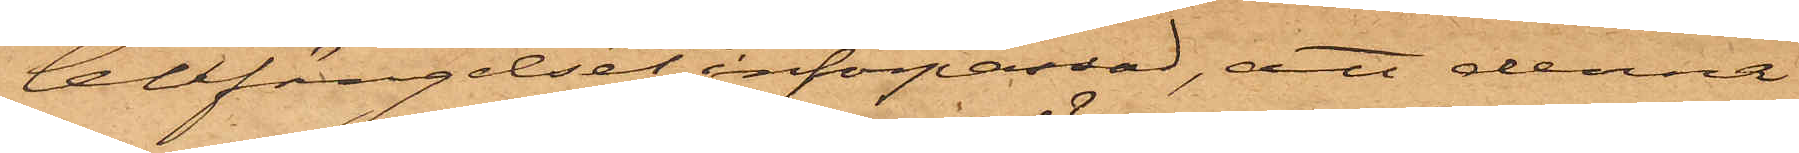Cellfängelset införpassad, att denna
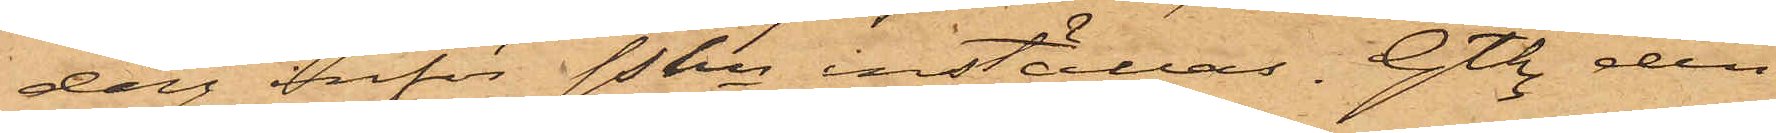dag inför Pkn inställas. Gtbg den
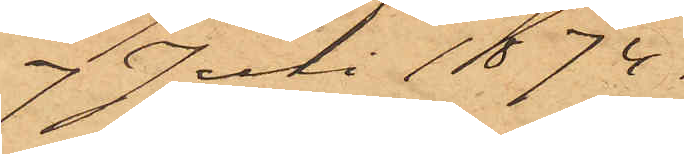7 Juli 1874.
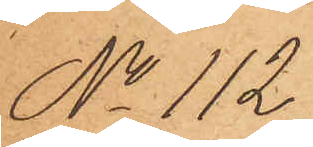No 112
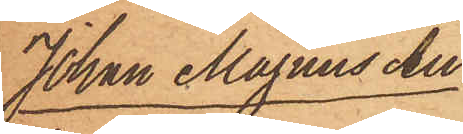Johan Magnus Au¬
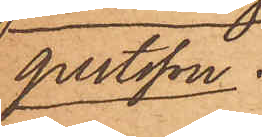gustsson.
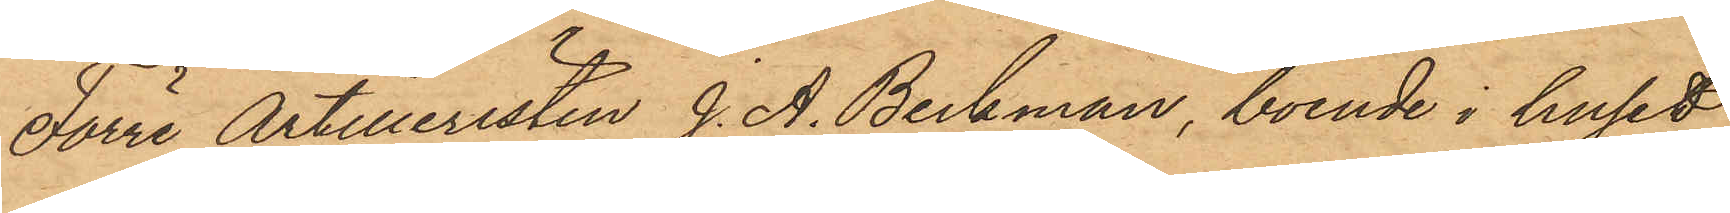Förre Artilleristen J. A. Beckman, boende i huset
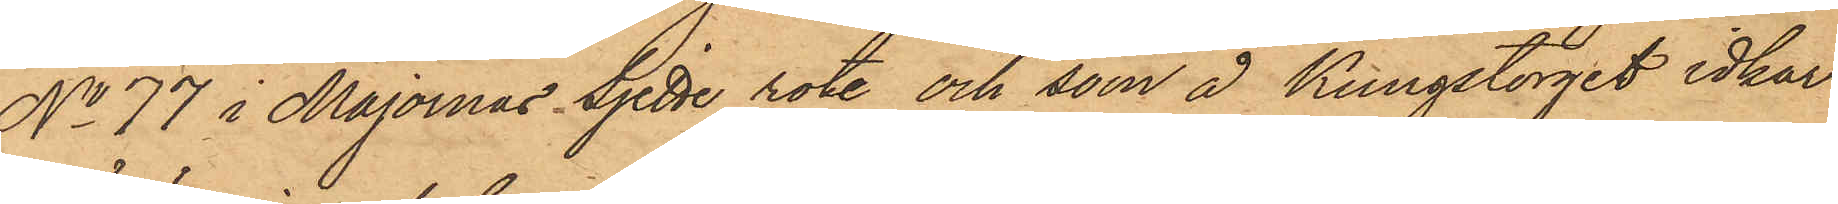No 77 i Majornas Sjette rote och som å Kungstorget idkar
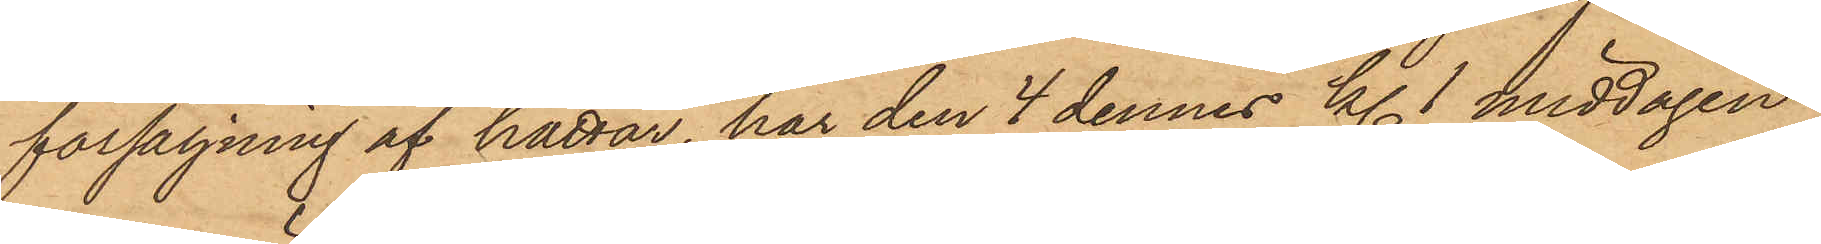försäljning af hattar, har den 4 dennes kl. 1 middagen
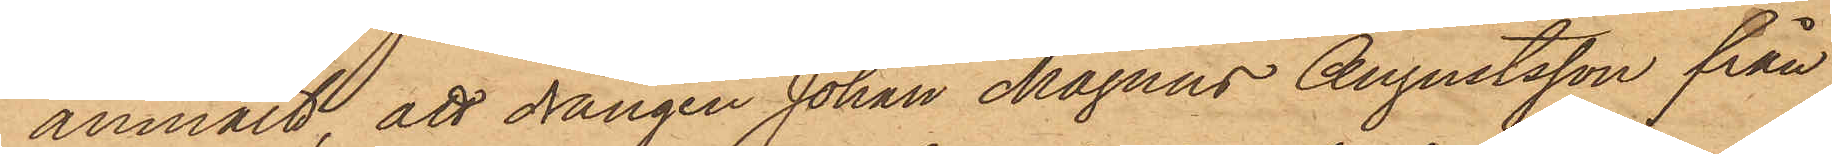anmält, att drängen Johan Magnus Augustsson från
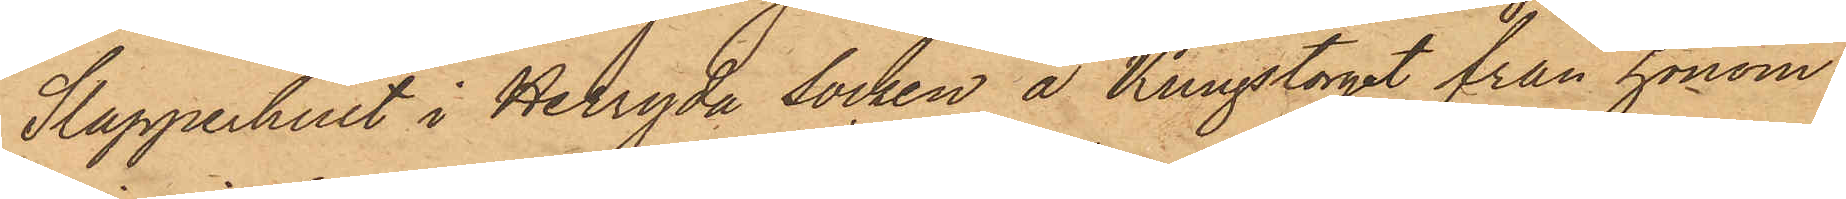Slapperhult i Herryda socken å Kungstorget från honom
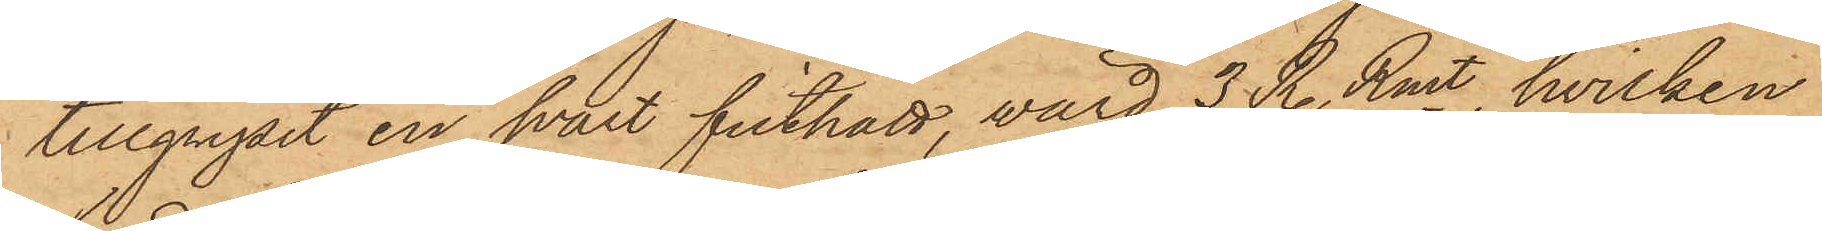tillgripit en svart filthatt, värd 3 RdrRmt,  hvilken
